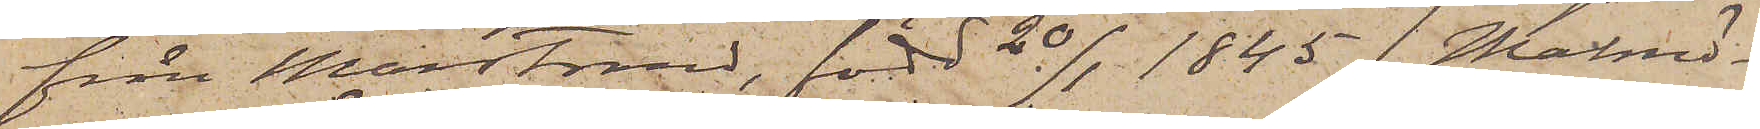från Marstrand, född 20/1 1845 (Malmö¬
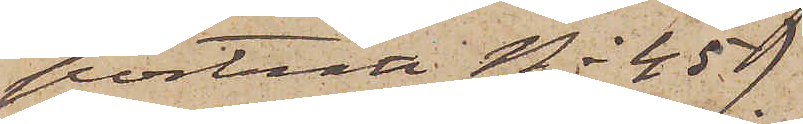porträtt No 45)
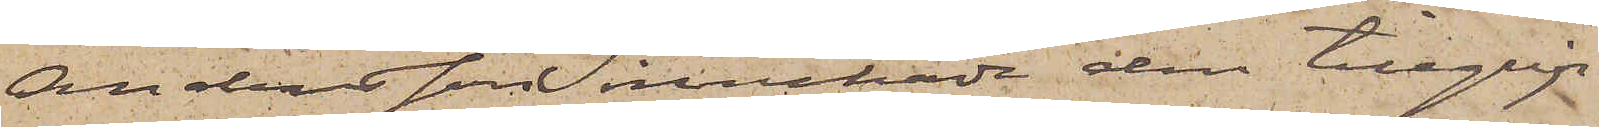Andersson innehade den tillgrip¬
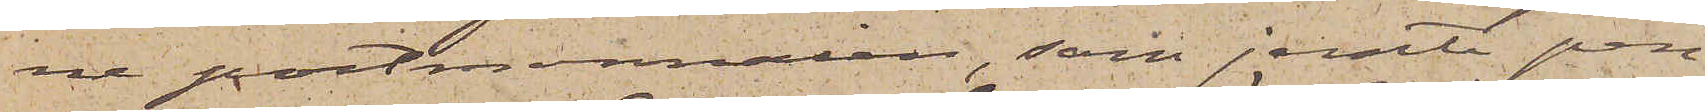ne portmonnaien, som jemte pen¬
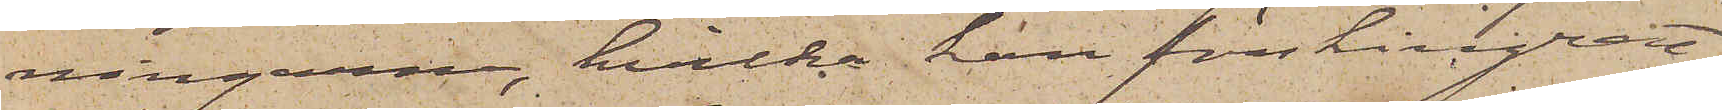ningarne, hvilka han förskingrat,
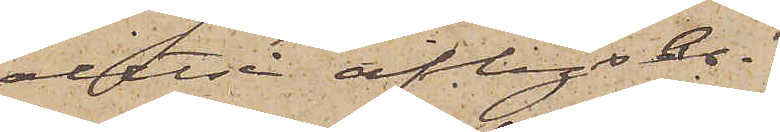alltså aflyses.
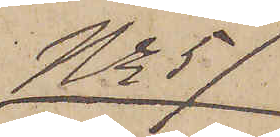No 57
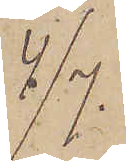4/7.
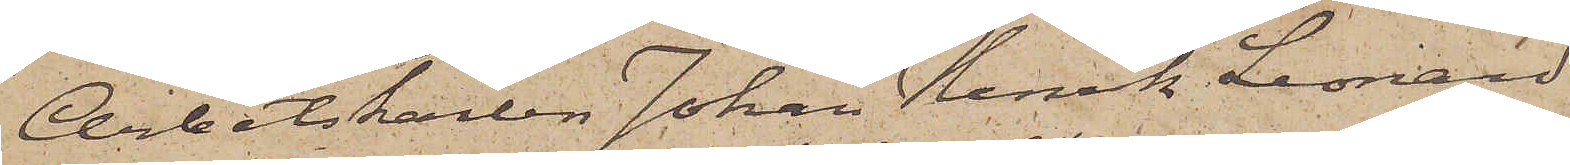Arbetskarlen Johan Henrik Leonard
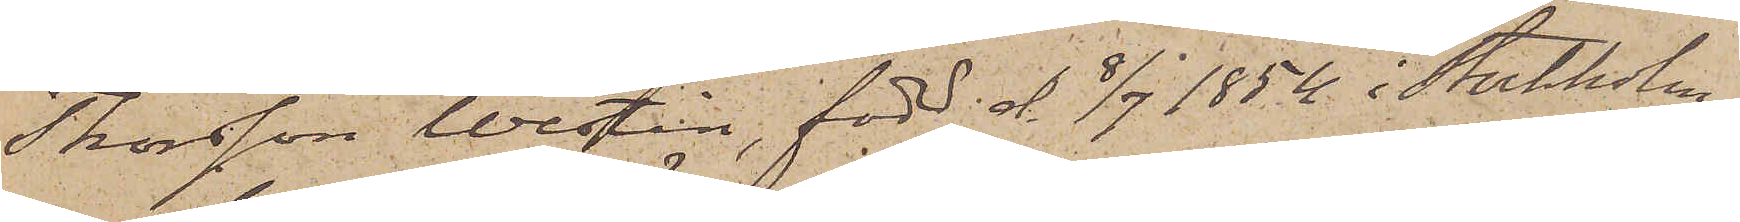Thorsson Westin, född d. 8/7 1854 i Stockholm,
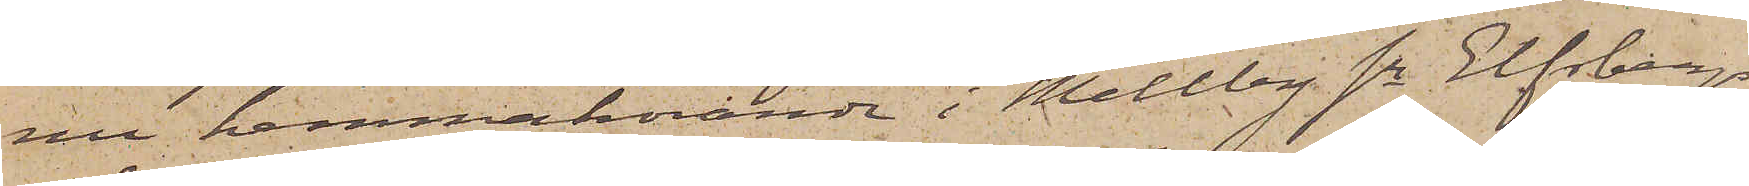nu hemmahörande i Mellby sn Elfsborgs
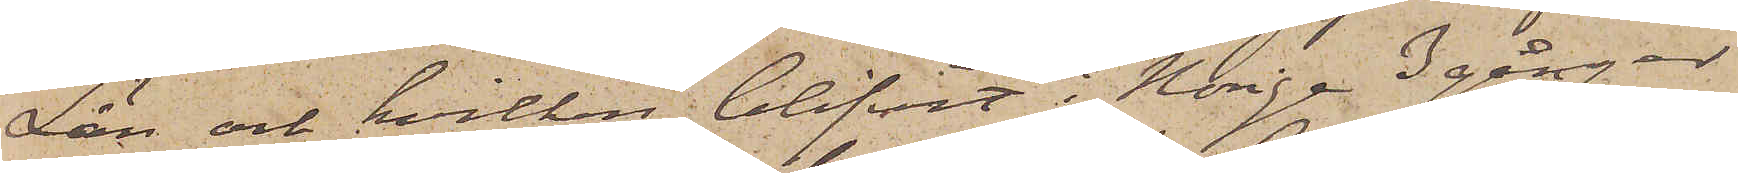Län och hvilken blifvit i Norige 3 gånger
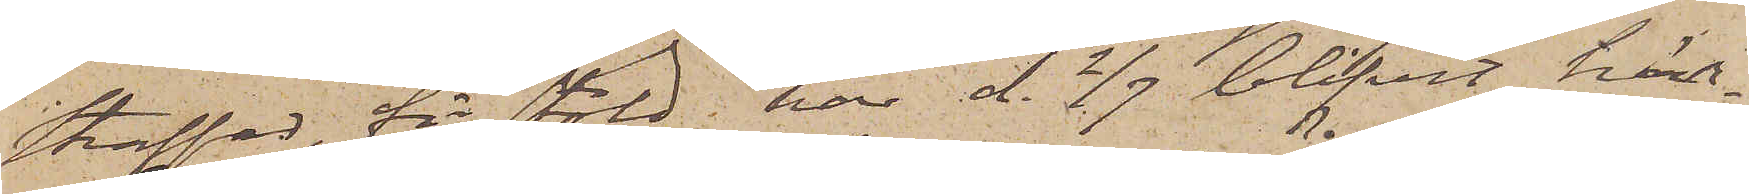straffad för stöld, har d. 2/7 blifvit här¬
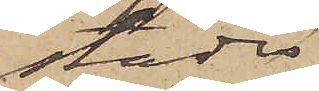städes
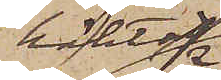häktad
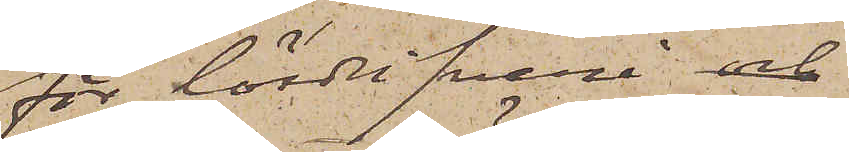för lösdrifveri och
